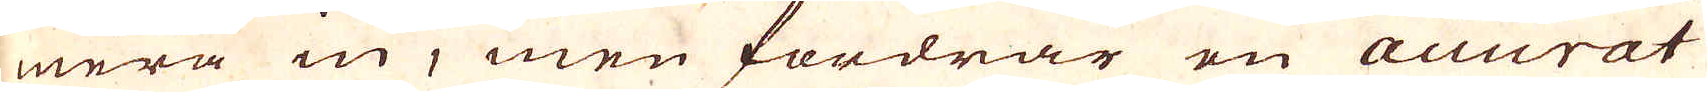mera in, men fordrar en Accurat
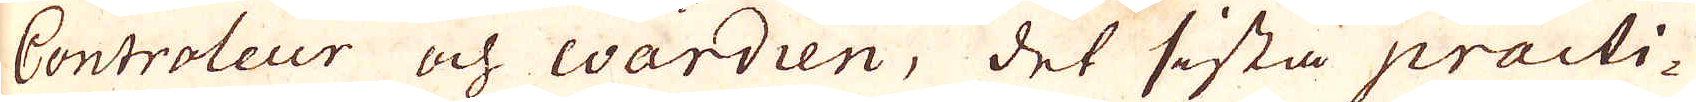Controleur och wardien, det sista practi-
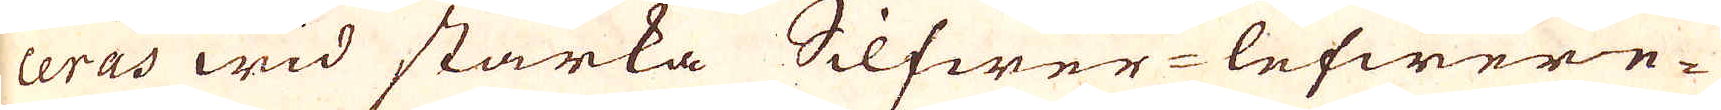ceras wid starka Silfwer-lefwere-
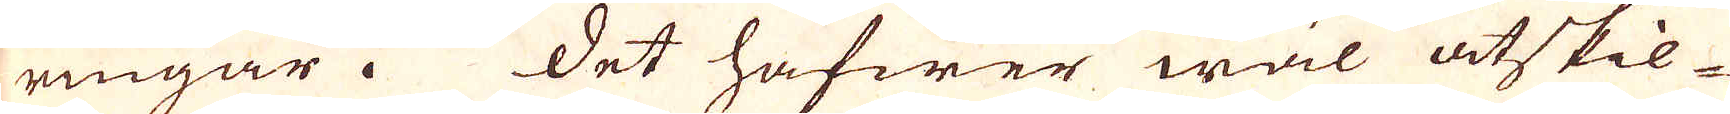ringar. Det hafwer wäl åtskil-
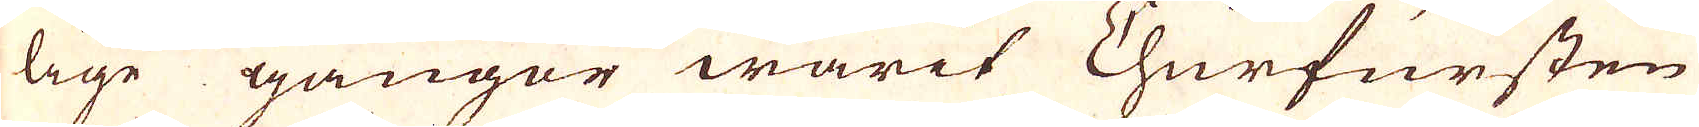lige gånger warit Churfursten
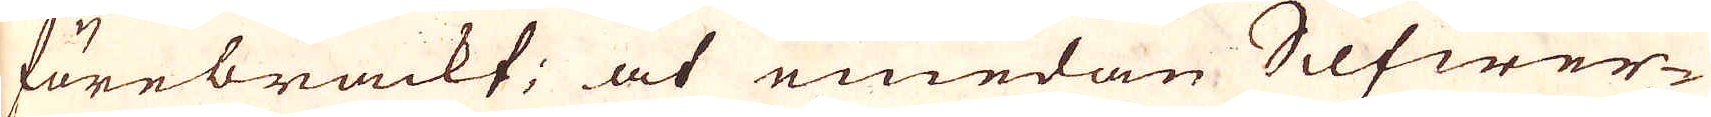förebrackf; at emedan Silfwer-
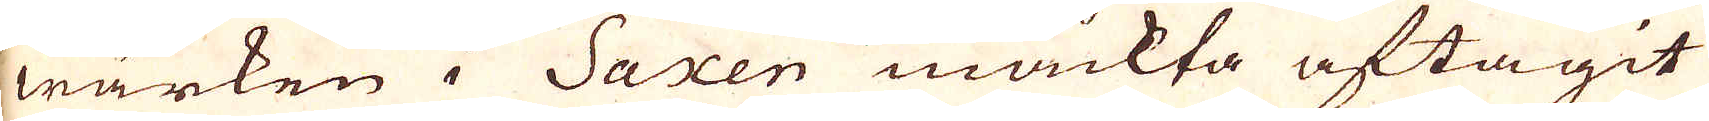wärken i Saxen mäckta aftagit
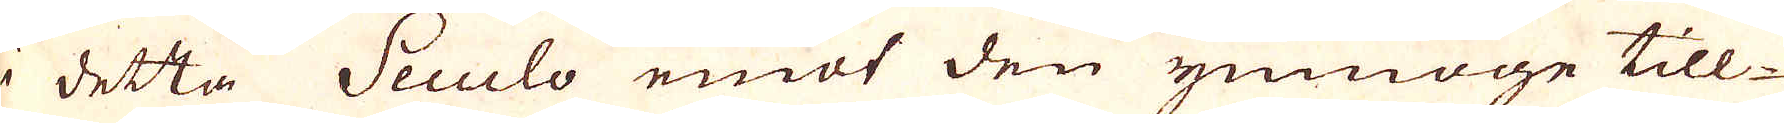i detta Seculo emot den ymmoge till-
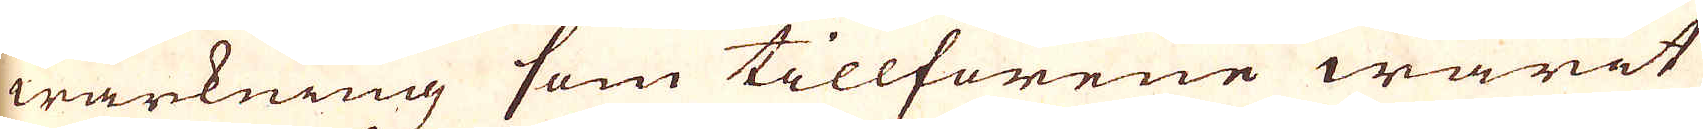wärkning som tillförene warit
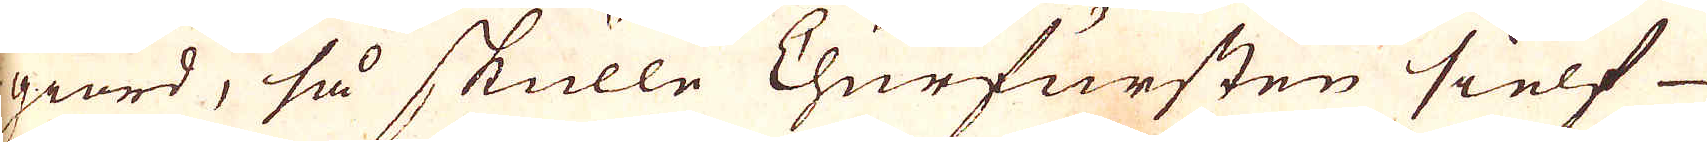giord, så skulle Churfursten sielf
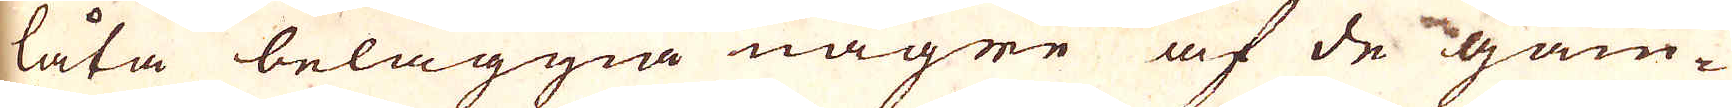låta beläggna någre af de gam-
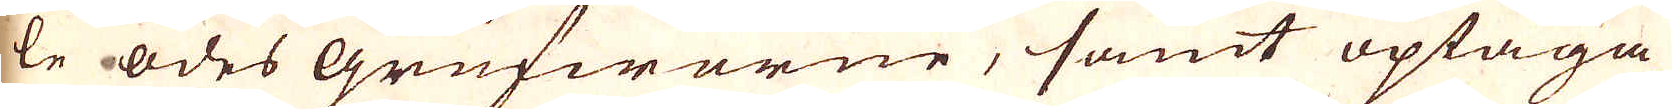le ödes Grufworne, samt optaga
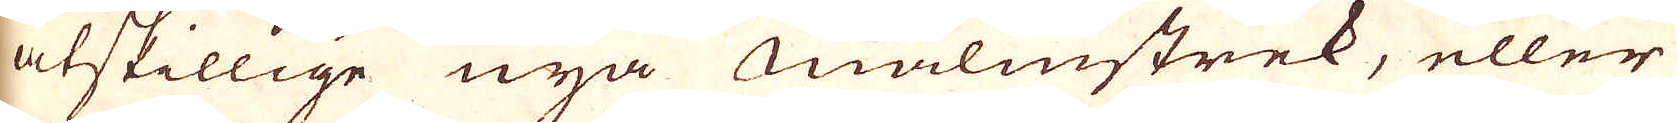åtskillige nya malmstrek, eller
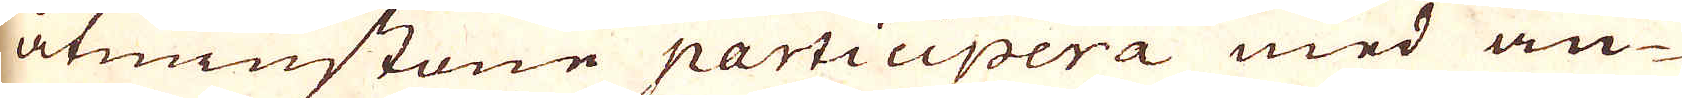åtminstone participera med an-
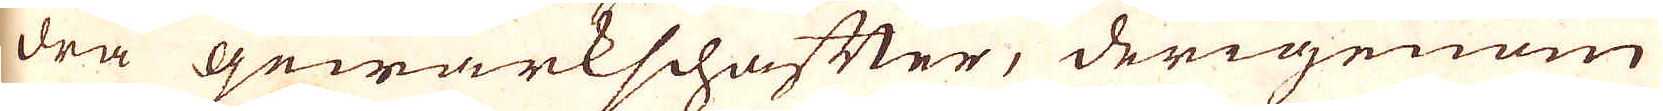dra gewärkschafter, derigenom
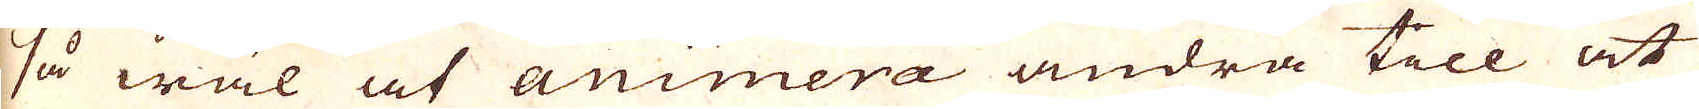så wäl at animera andra till at
